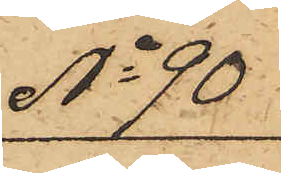No 90
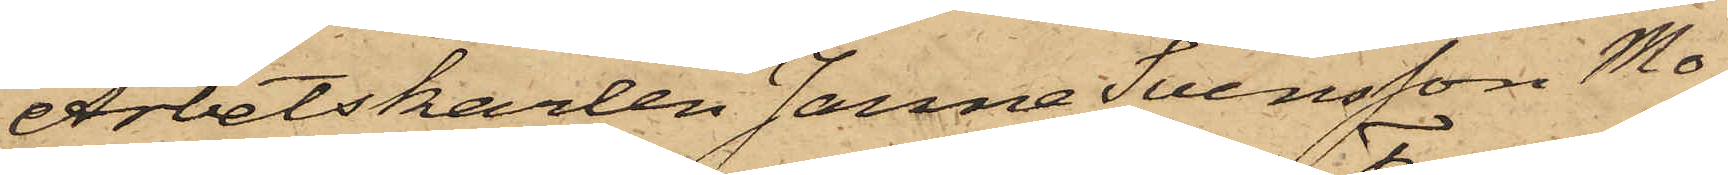Arbetskarlen Janne Svensson Mo¬
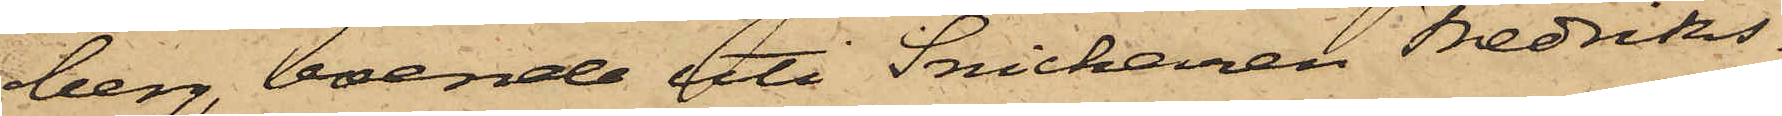berg boende uti Snickaren Fredriks¬
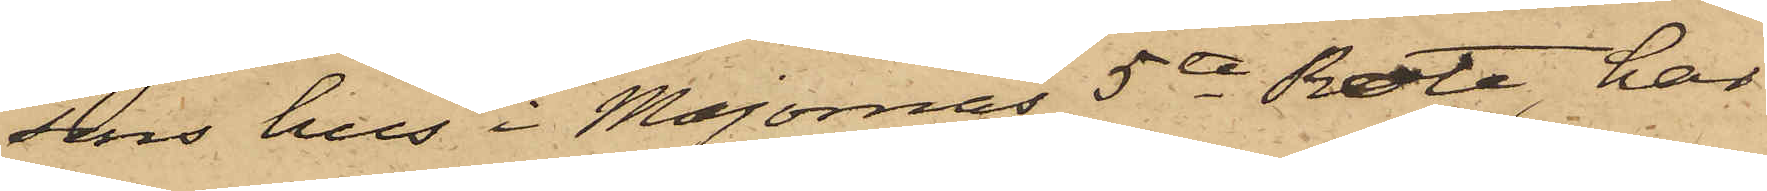sons hus i Majornas 5te Rote, har
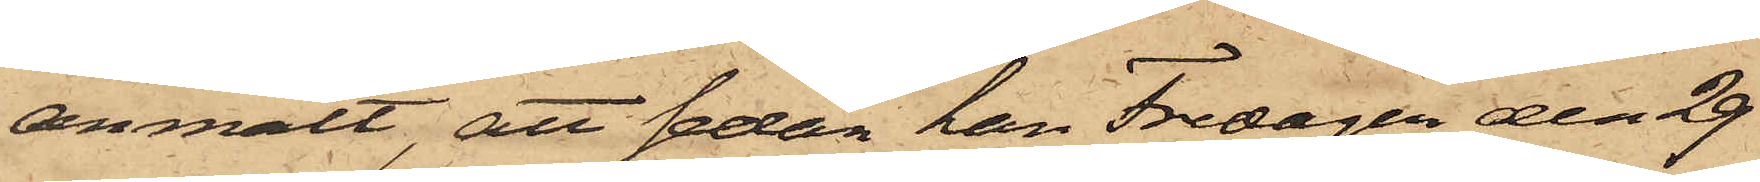anmält, att sedan han Fredagen den 29
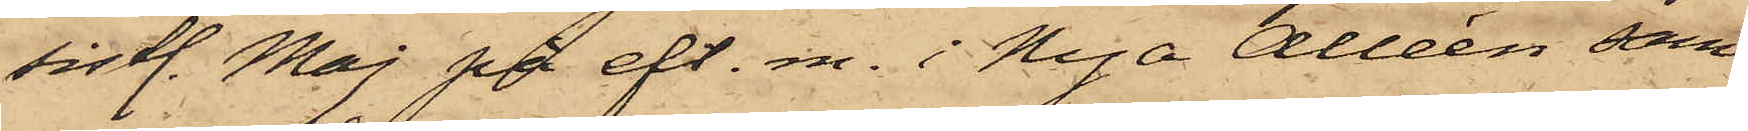sistl. Maj på eft. m. i Nya Alleén sam¬
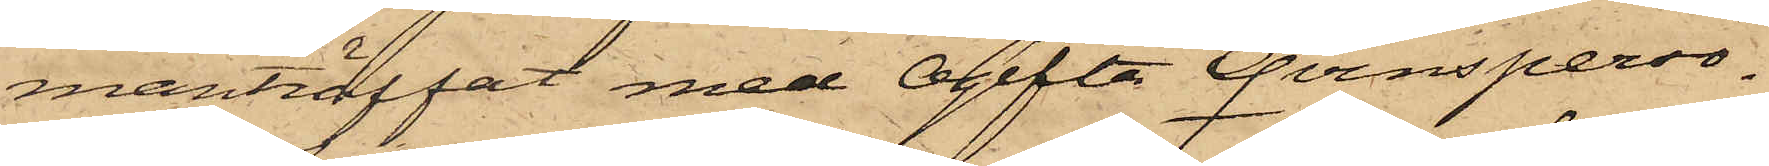manträffat med ogifta Qvinsperso¬
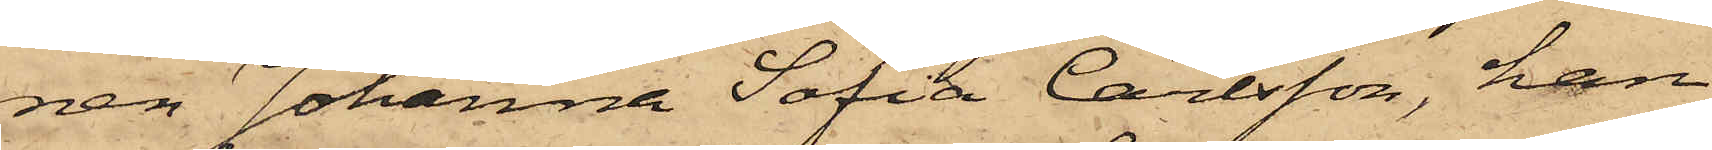nen Johanna Sofia Carlsson, han
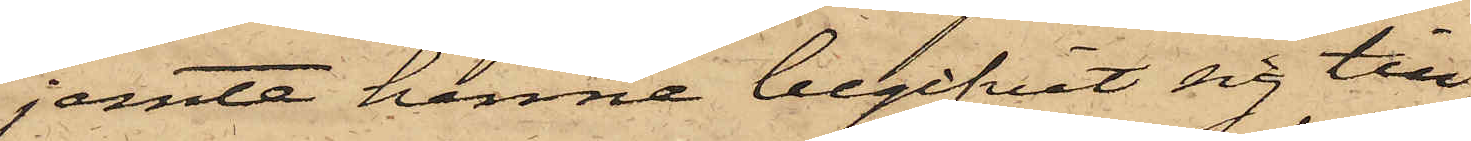jemte henne begifvit sig till
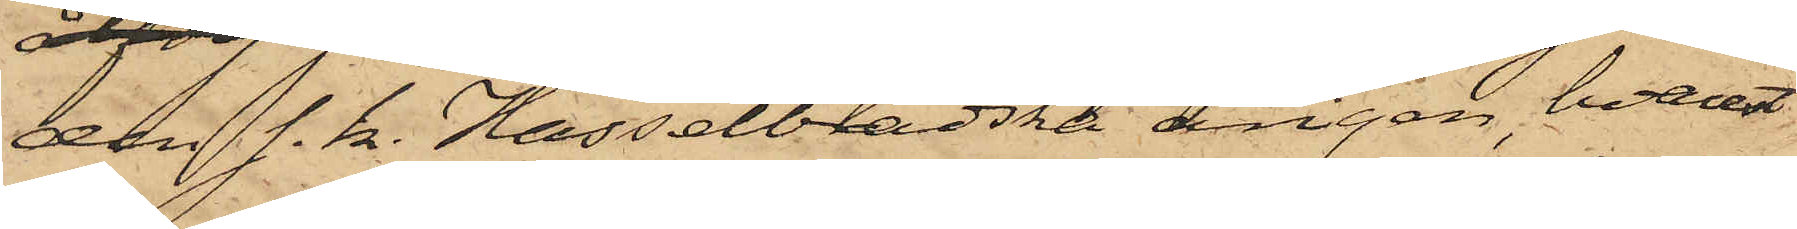den s. k. Hasselbladska ängen, hvarest
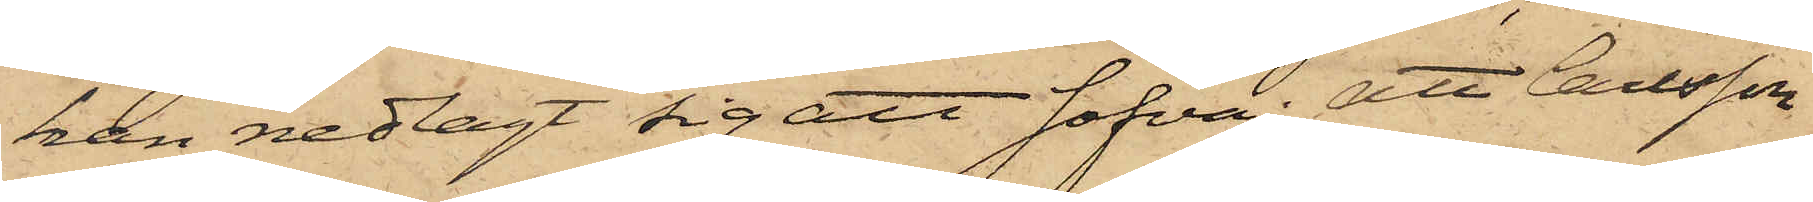han nedlagt sig att sofva; att Carlsson
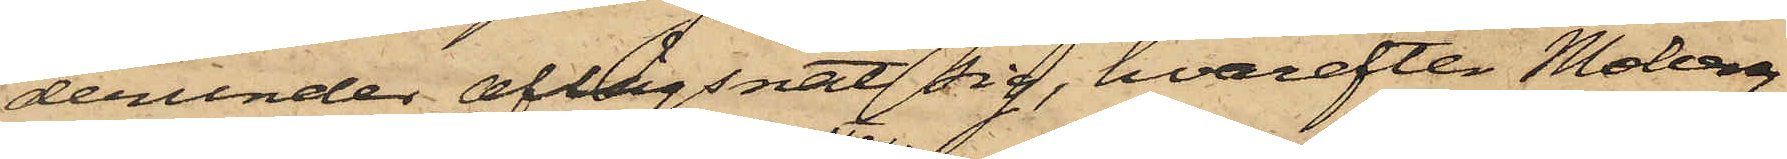derunder aflägsnat sig, hvarefter Moberg,
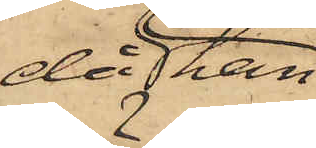då han
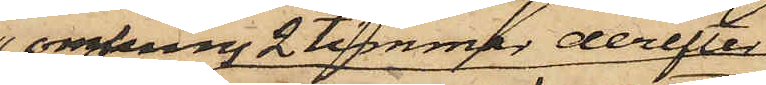omkring 2 timmar derefter
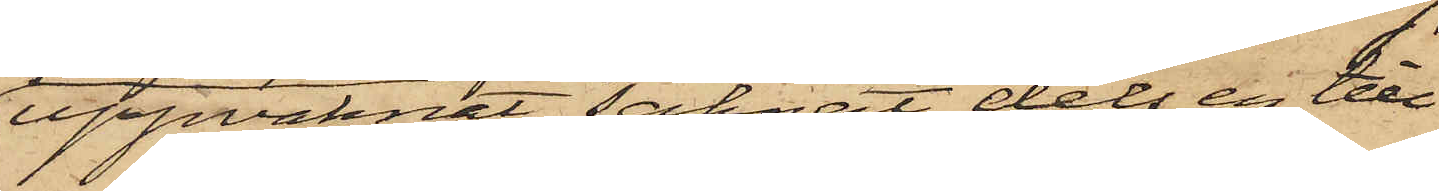uppvaknat, saknat dels en till
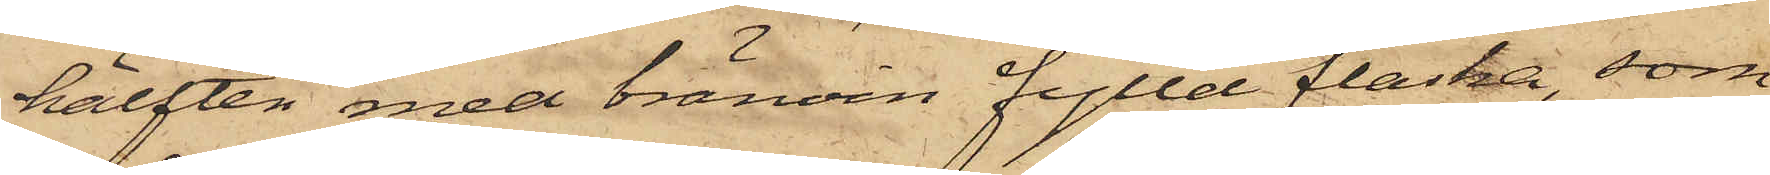hälften med bränvin fylld flaska, som
